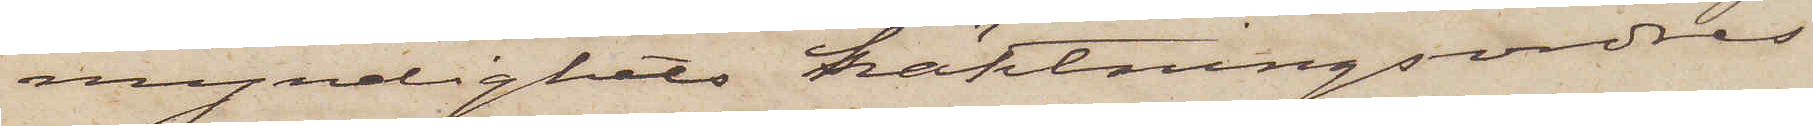myndighets häktningsordres
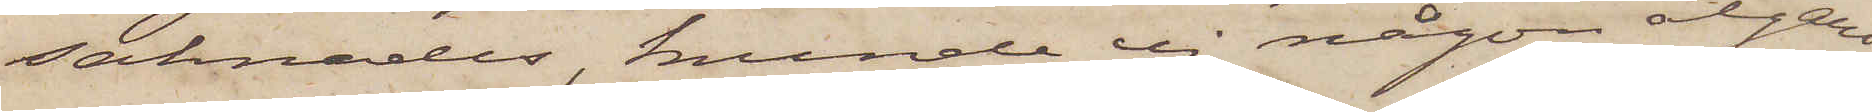saknades, kunde ej någon åtgärd
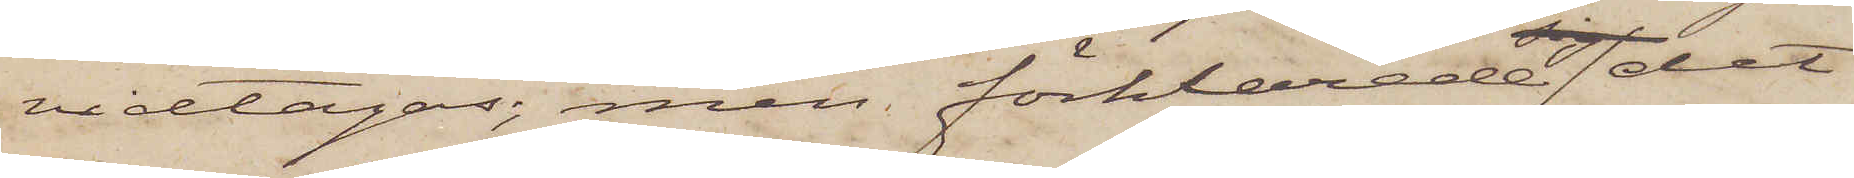vidtagas; men förklarade det
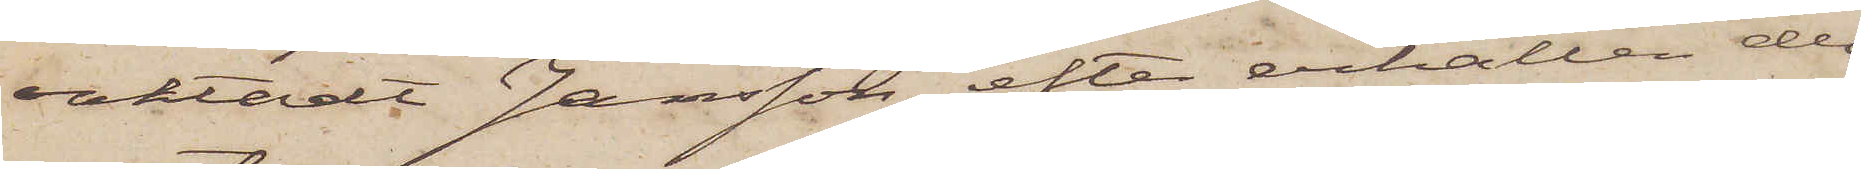oaktadt Jansson, efter erhållen del
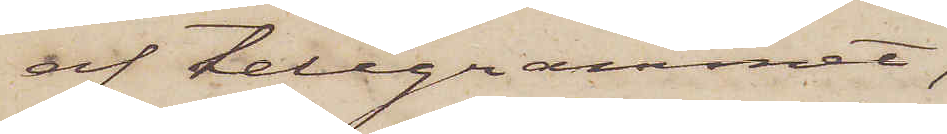af telegrammet,
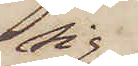sig
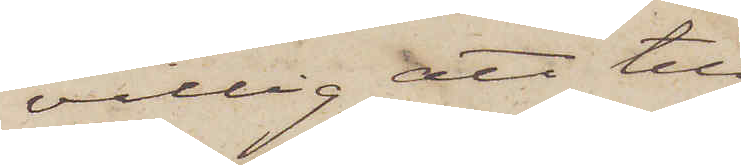villig att till
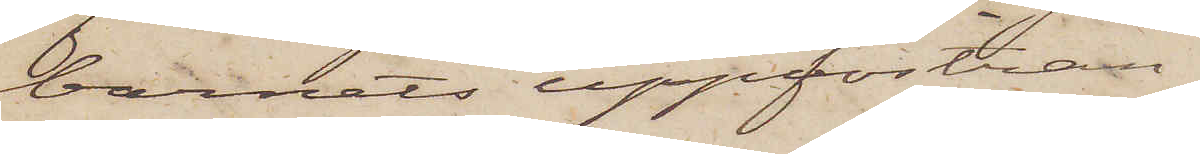barnets uppfostran
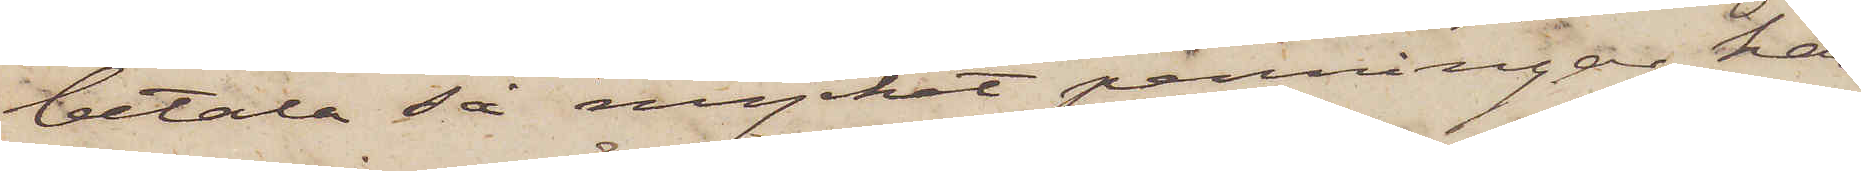betala så mycket penningar han
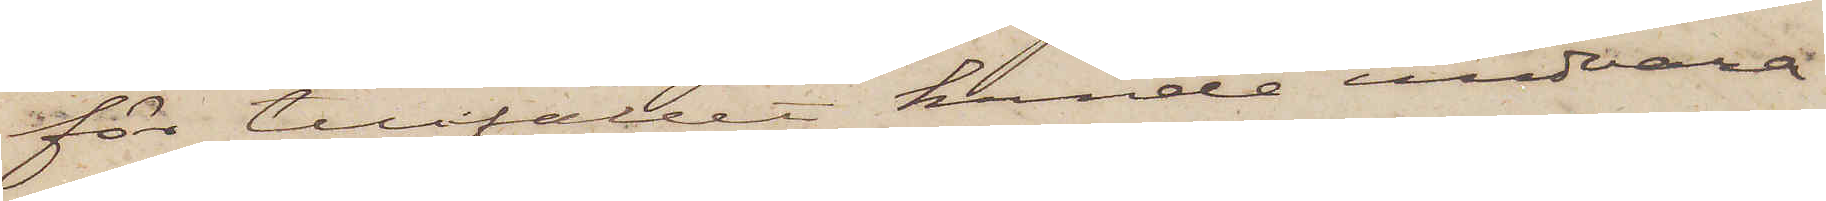för tillfället kunde undvara
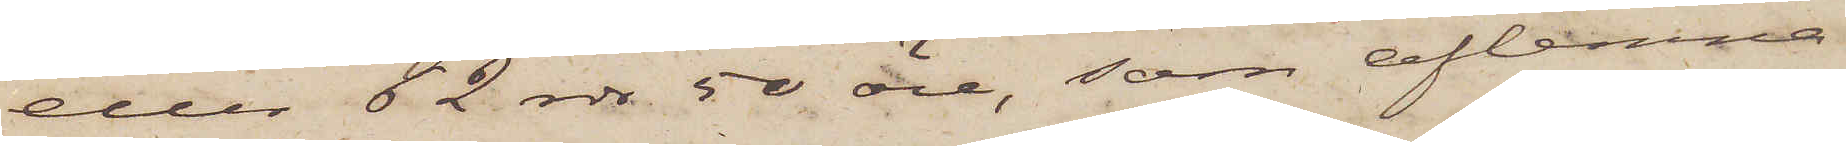eller 62 rdr 50 öre, som aflemna¬
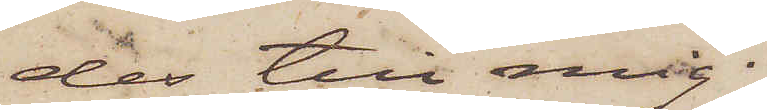des till mig;
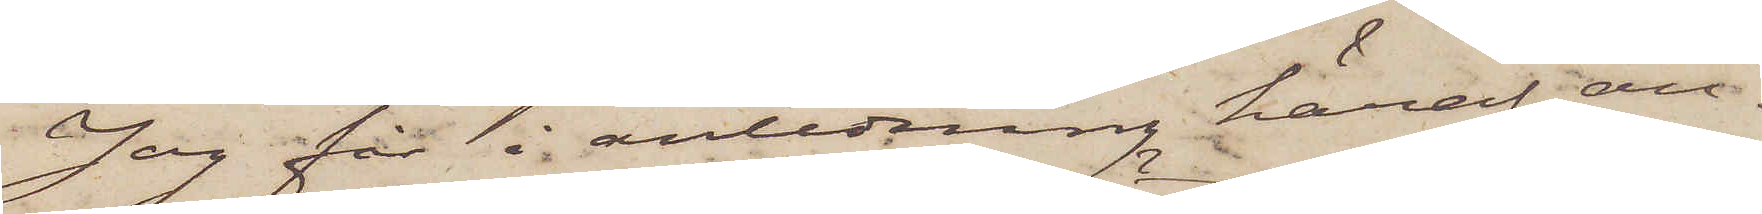Jag får i anledning häraf an¬
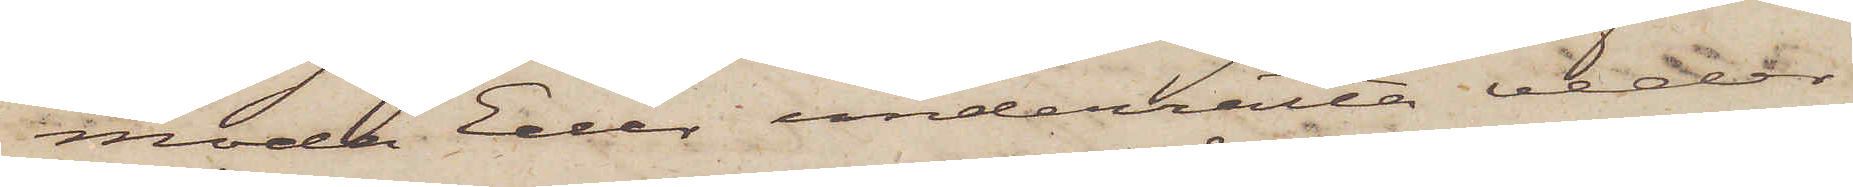moda Eder underrätta veder¬
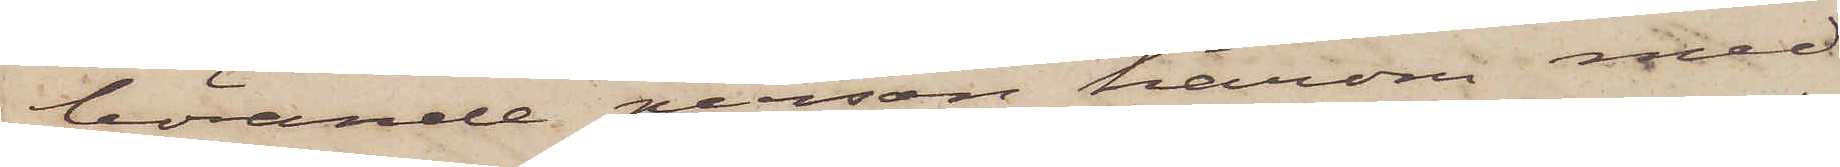börande person härom med
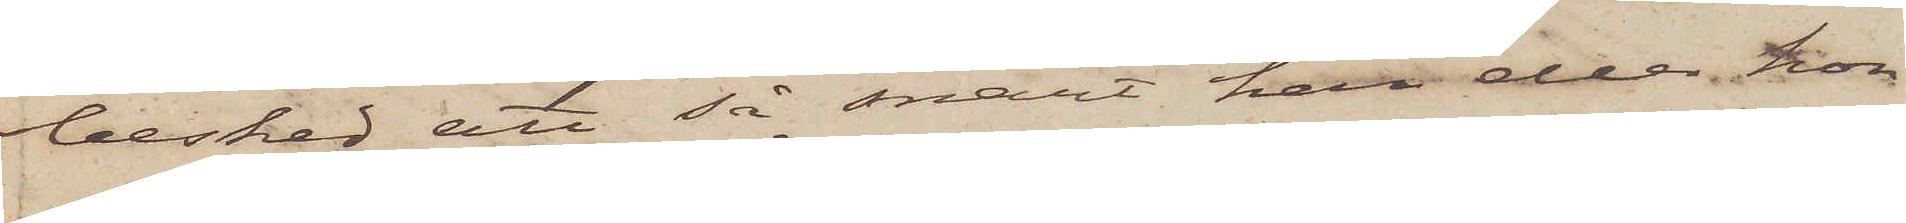besked att så snart han eller hon
